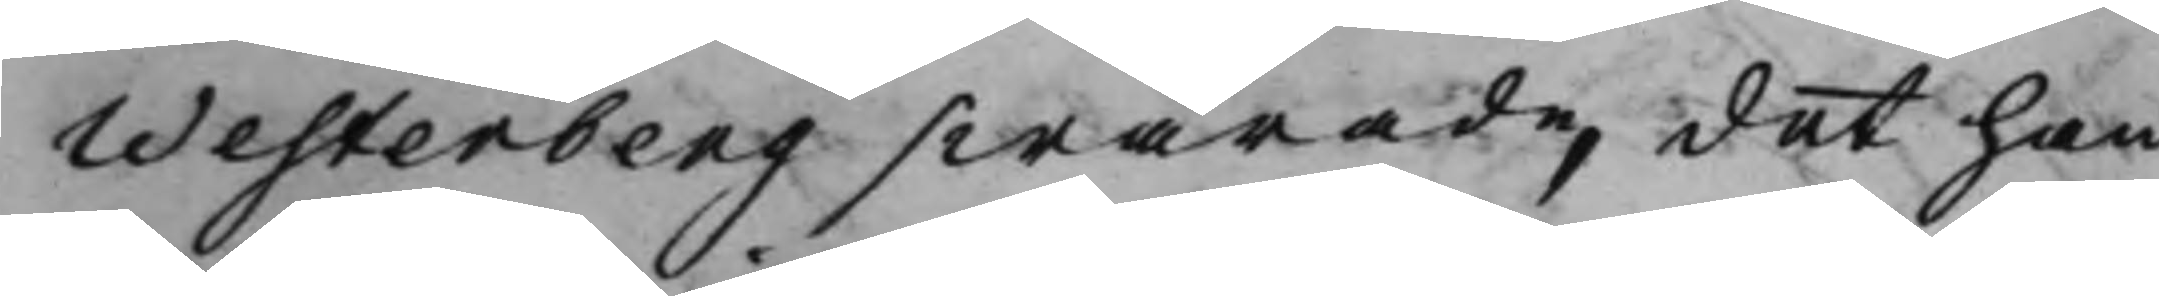Westerberg swarade, det han
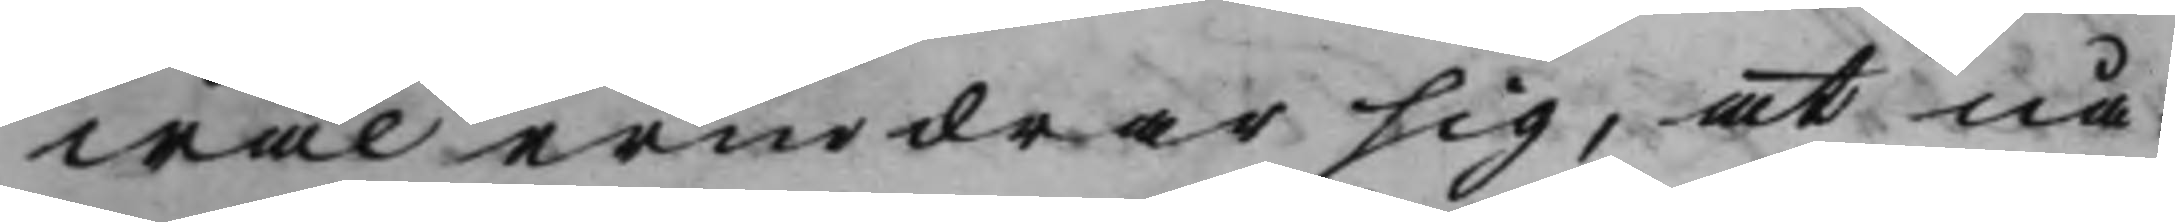wäl erindrar sig, at nå¬
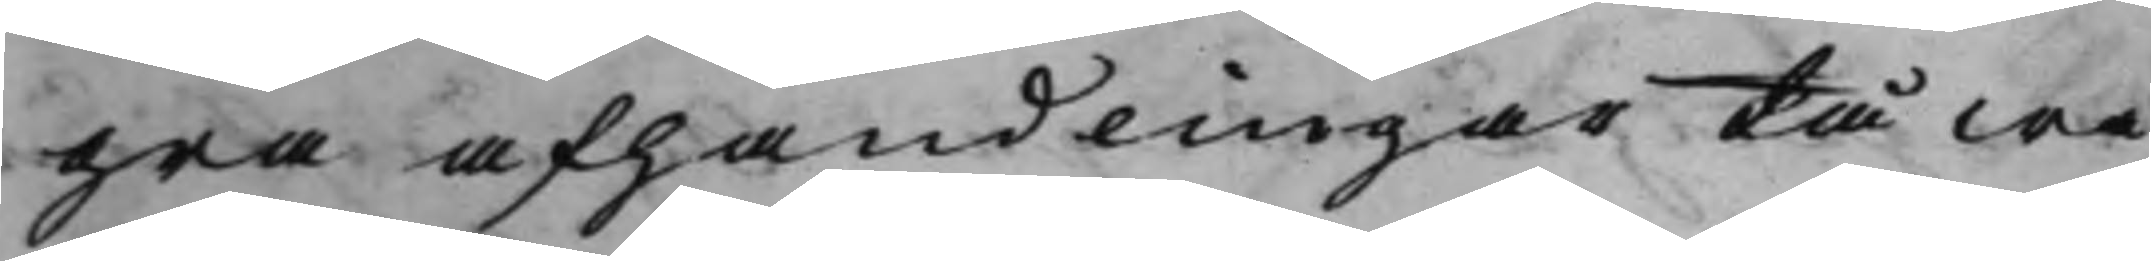gra afhandlingar tå wa¬
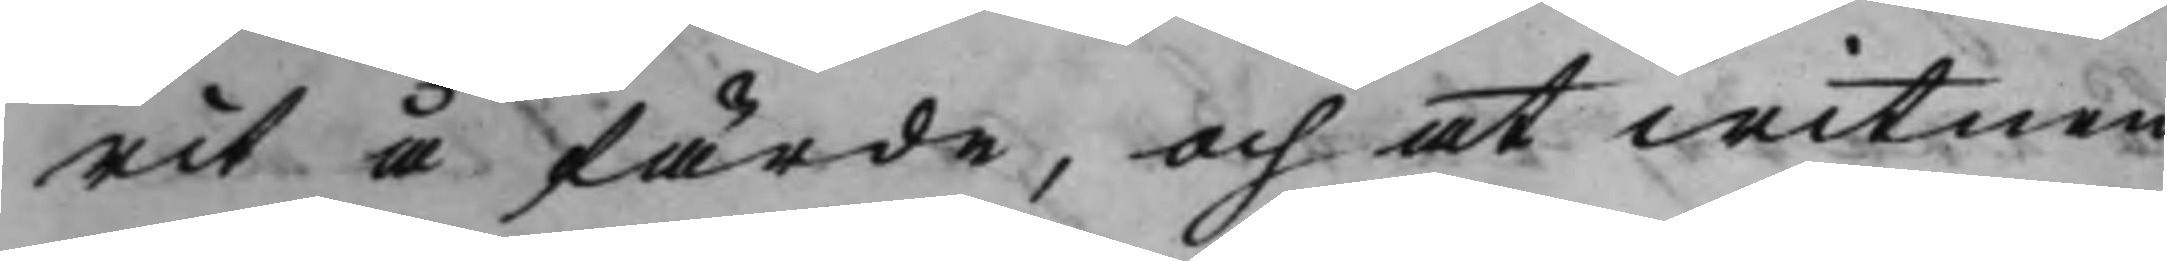rit å färde, och at witnen
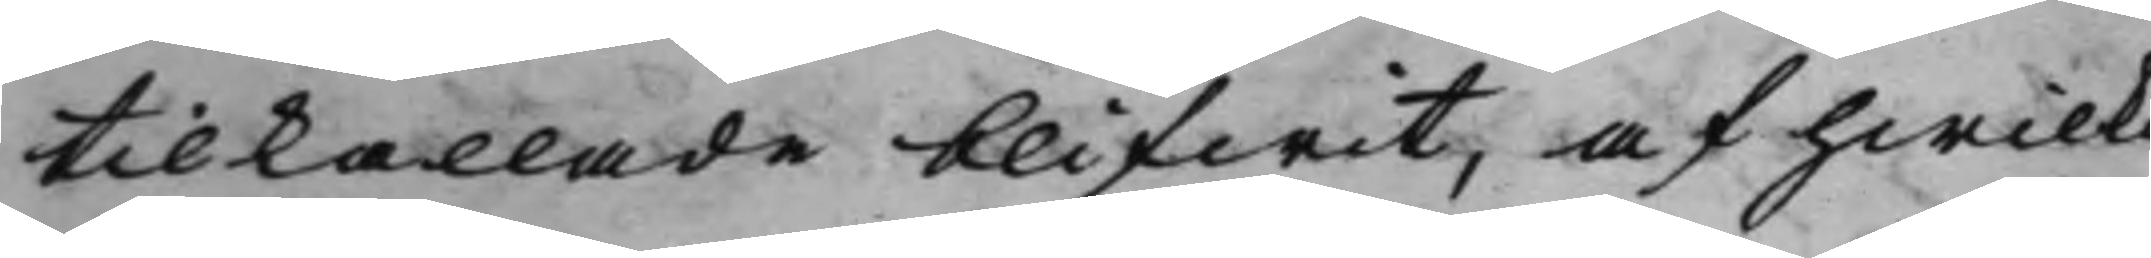tilkallade blifwit, af hwilka
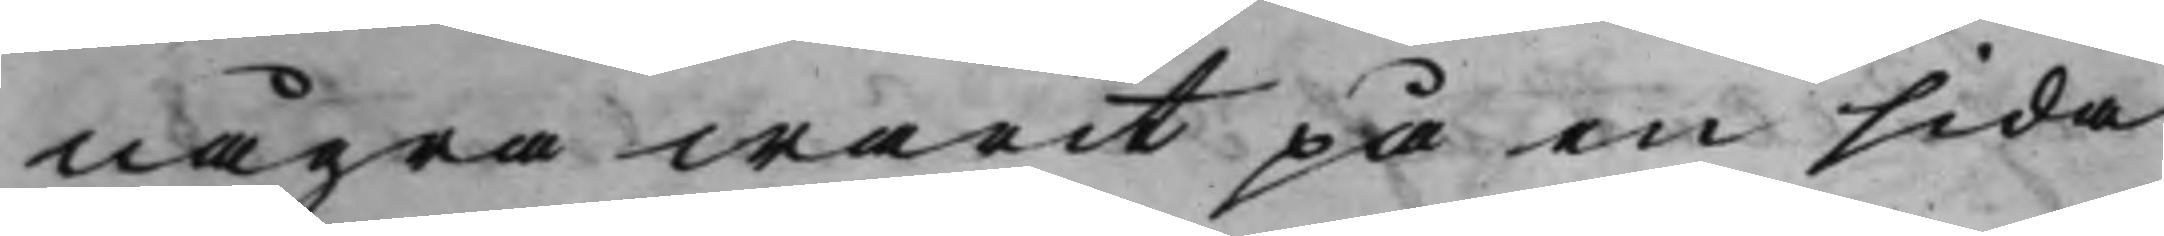några warit på en sida
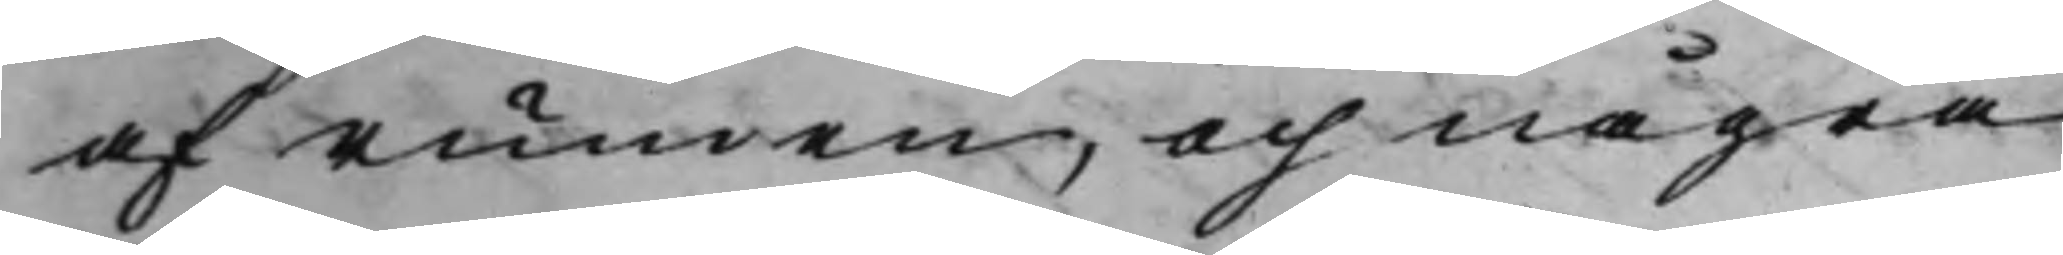af rumen, och några
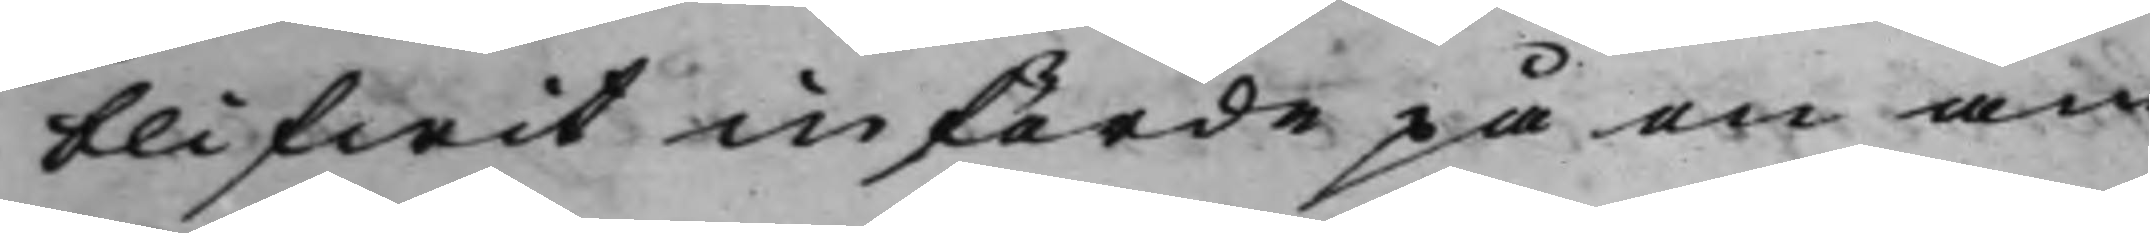blifwit införde på en an¬
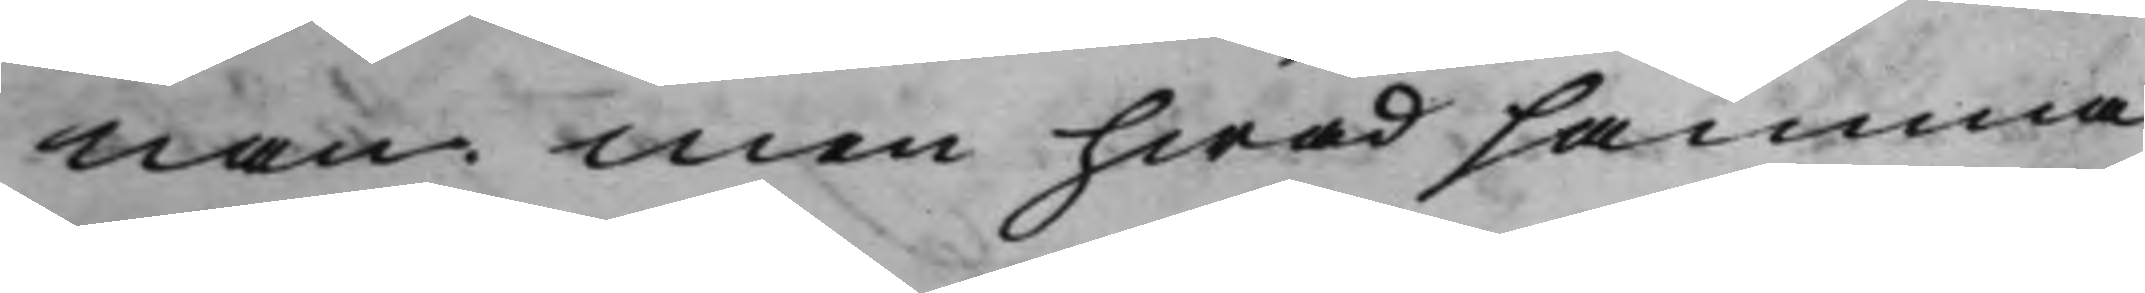nan. Men hwad samma
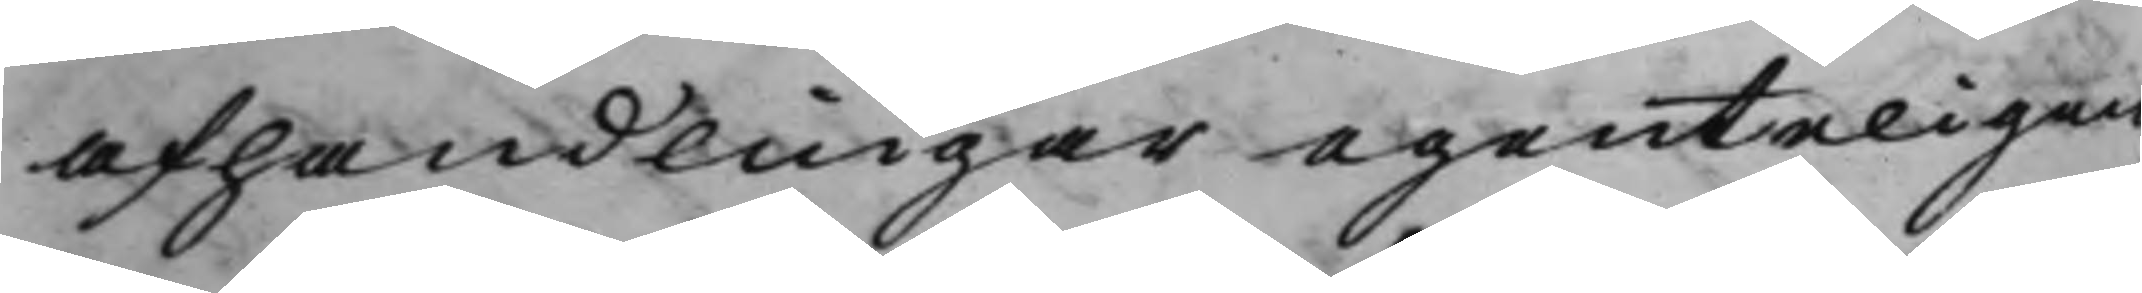afhandlingar egenteligen
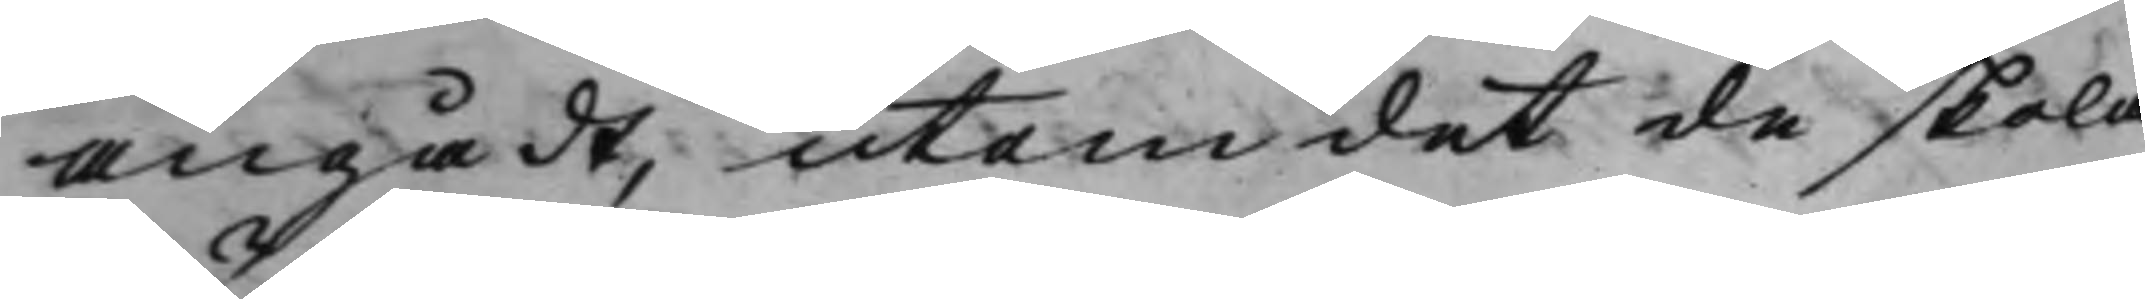angådt, utom det de skola
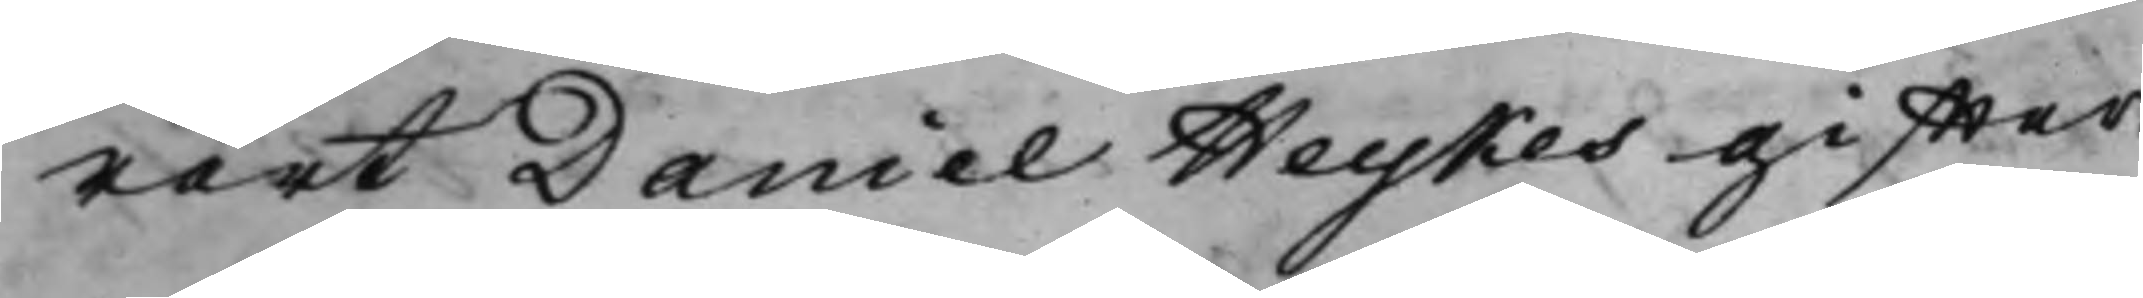rört Daniel Heykes giffter¬
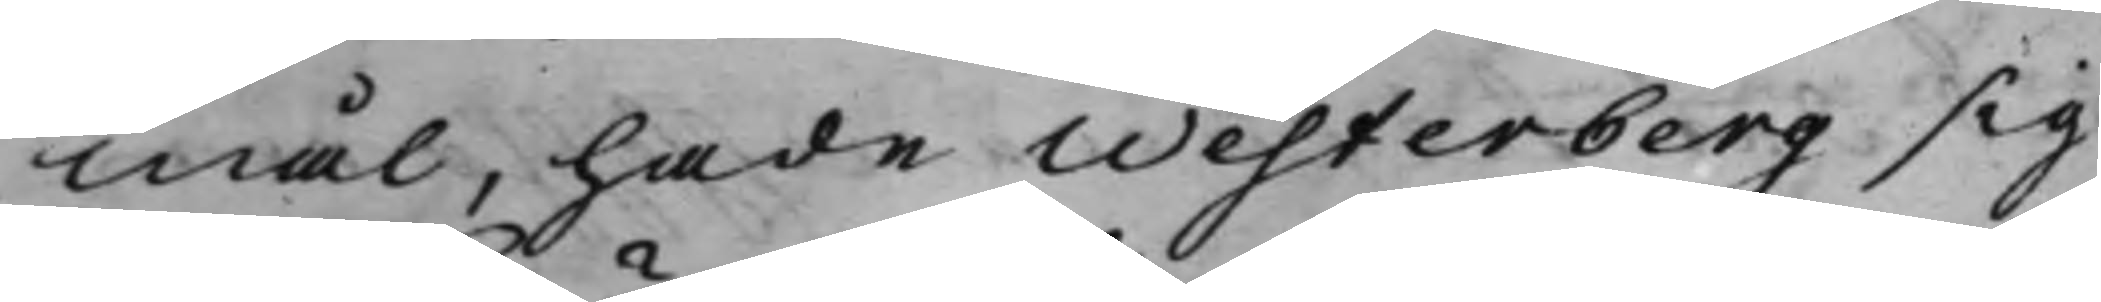mål, hade Westerberg sig
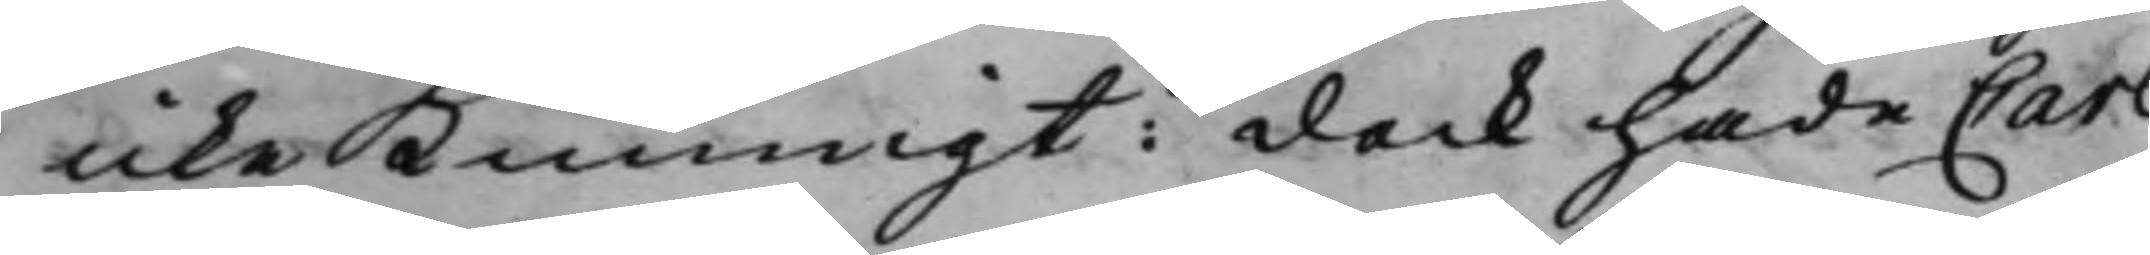icke Kunnigt: dock hade Carl
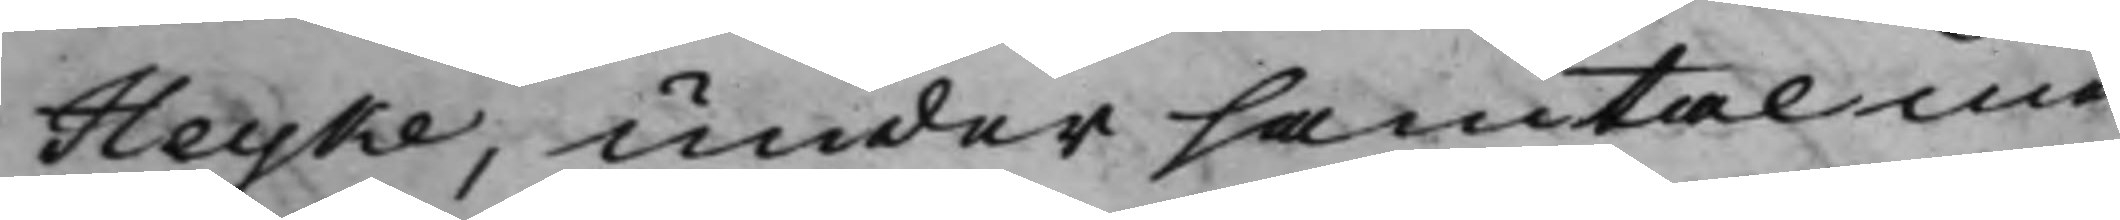Heyke, under samtal med
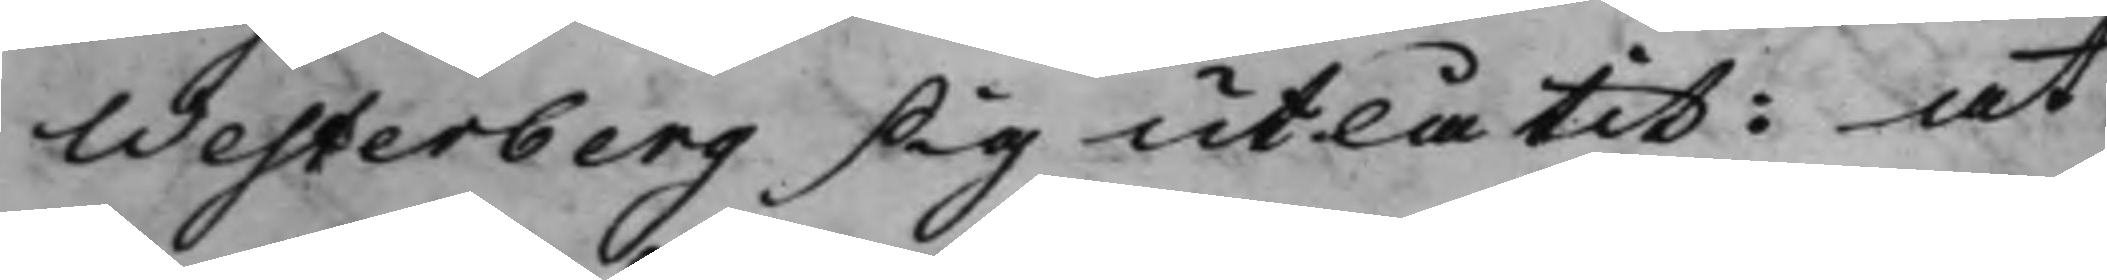Westerberg sig utlåtit: at
